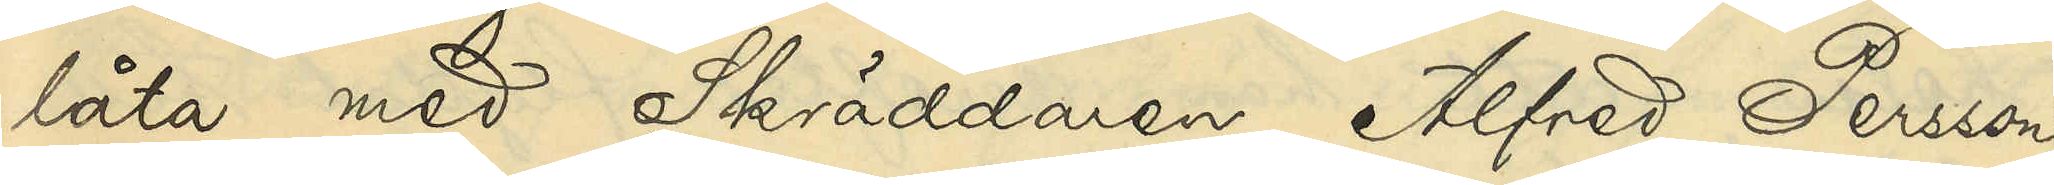låta med Skräddaren Alfred Persson
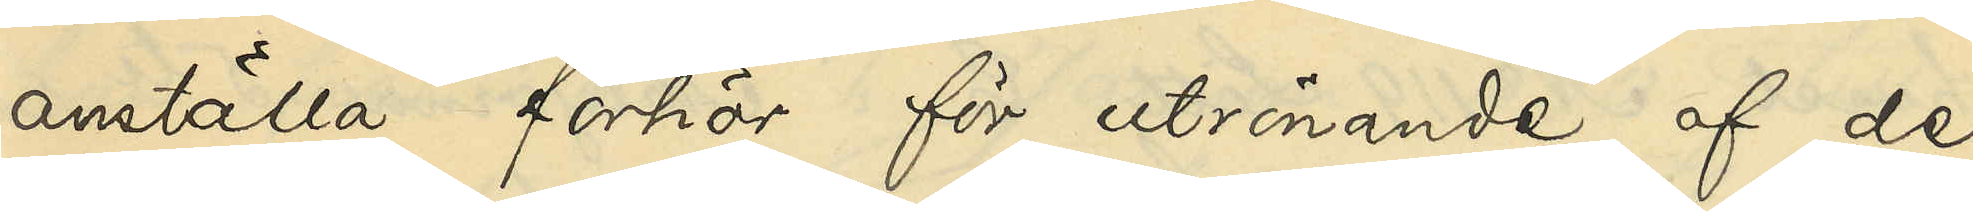anställa förhör för utrönande af de
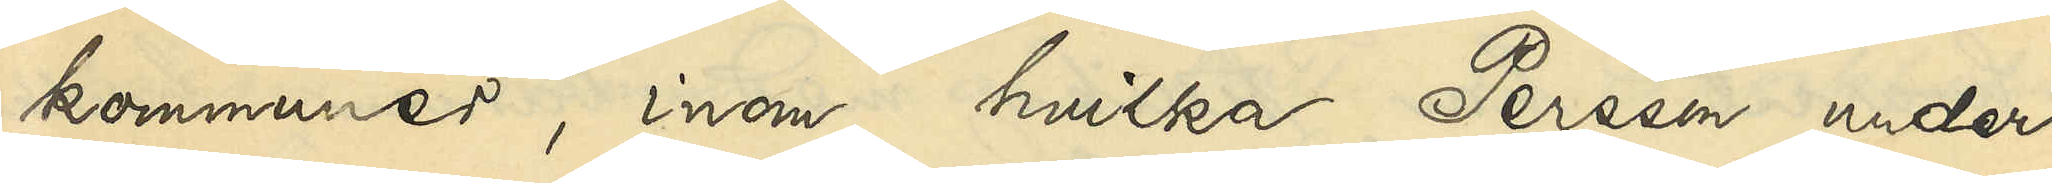kommuner, inom hvilka Persson under
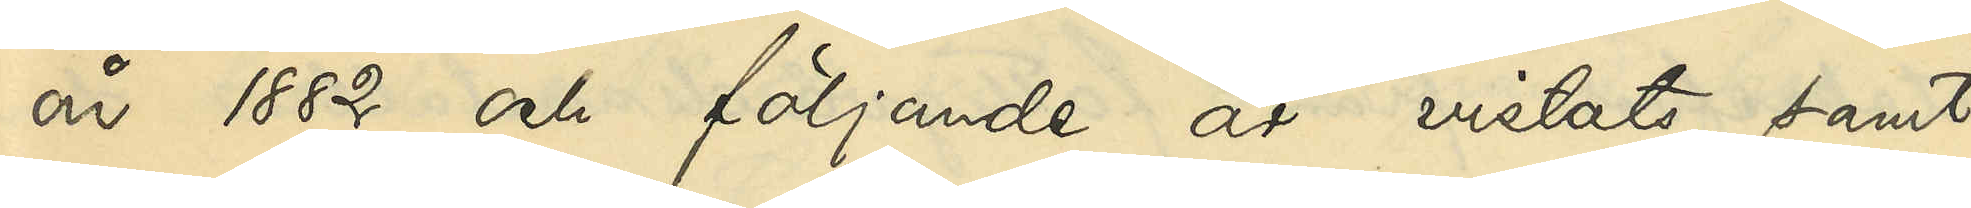år 1882 och följande år vistats, samt
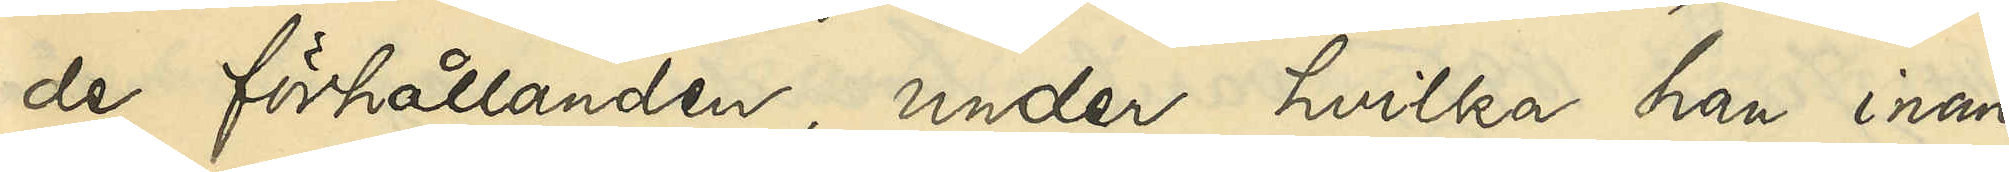de förhållanden, under hvilka han inom
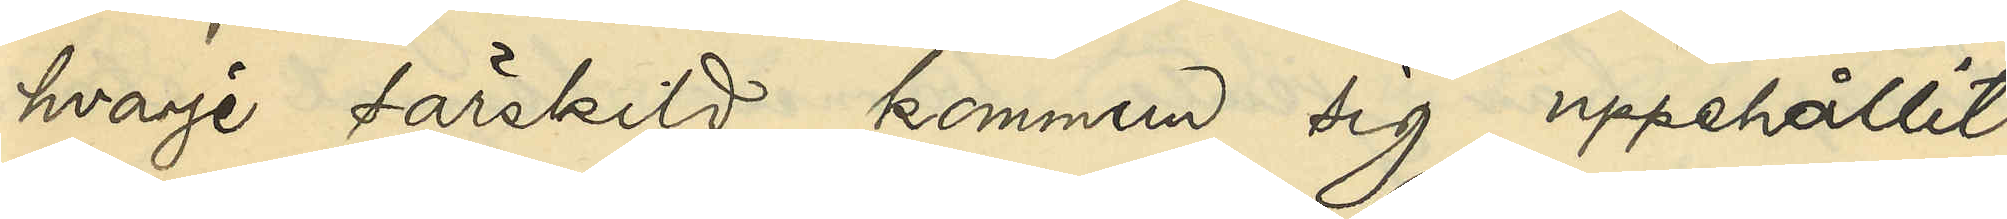hvarje särskild kommun sig uppehållit,
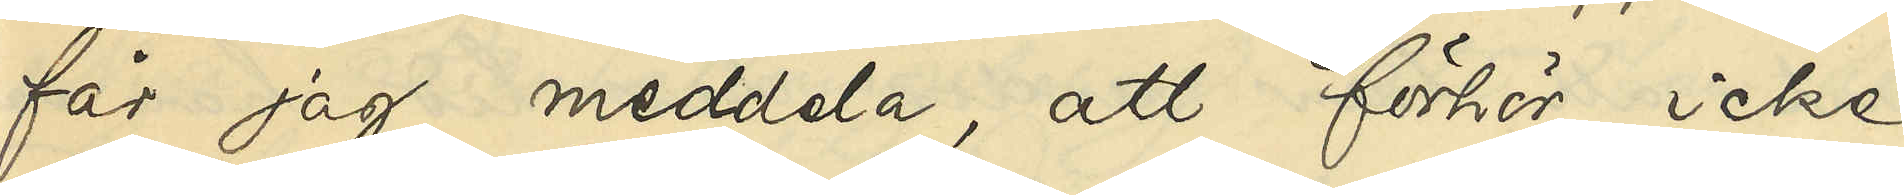får jag meddela, att förhör icke
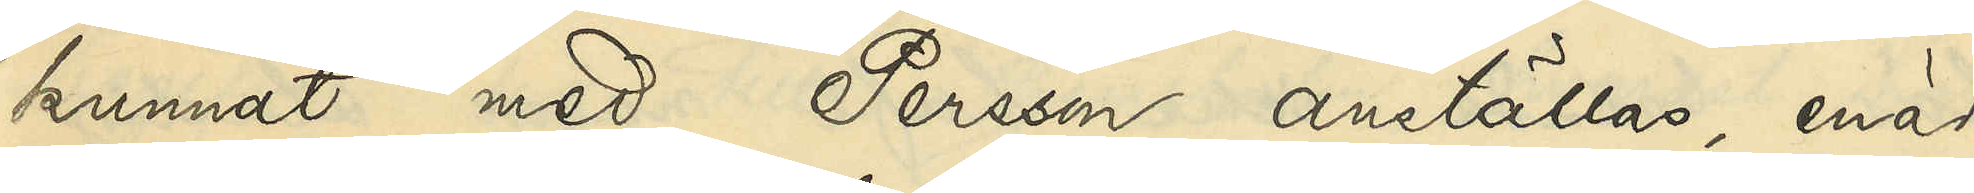kunnat med Persson anställas, enär
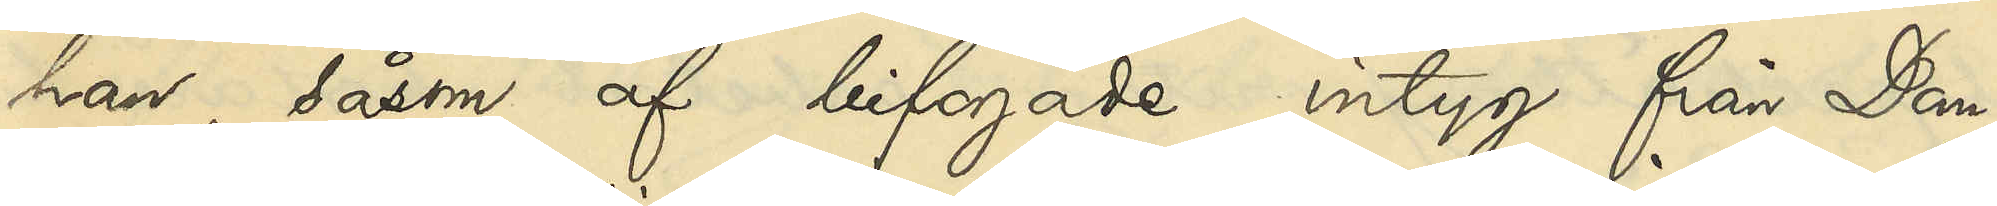han, såsom af bifogade intyg från Dom¬
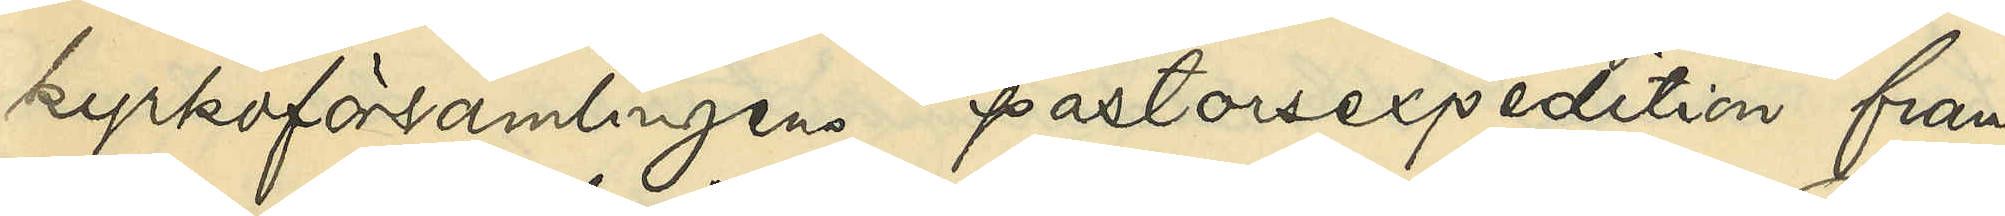kyrkoförsamlingens pastorsexpedition fram¬
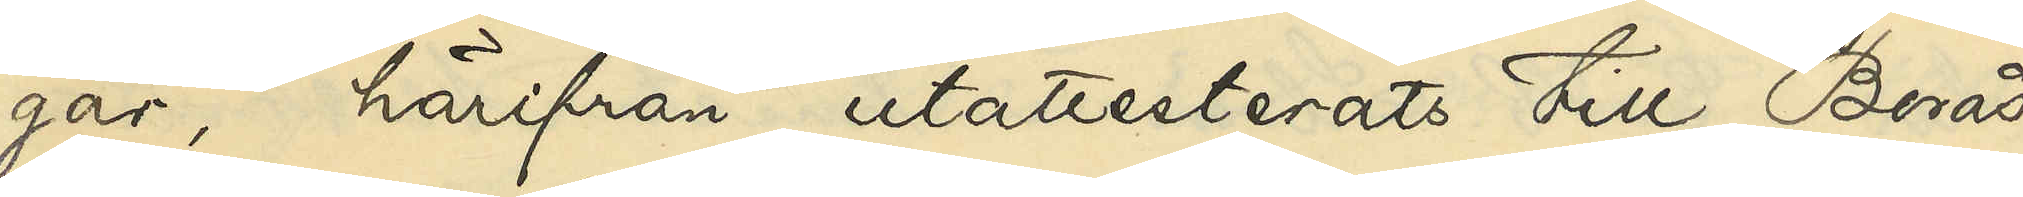går, härifrån utattesterats till Borås,
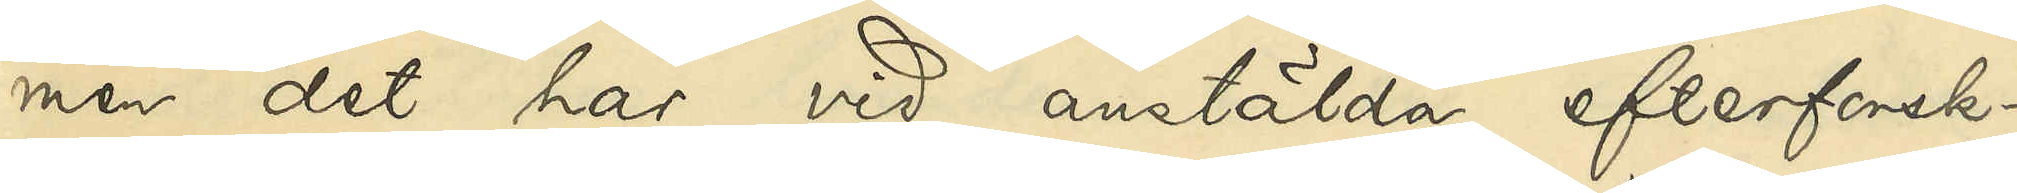men det har vid anstälda efterforsk¬
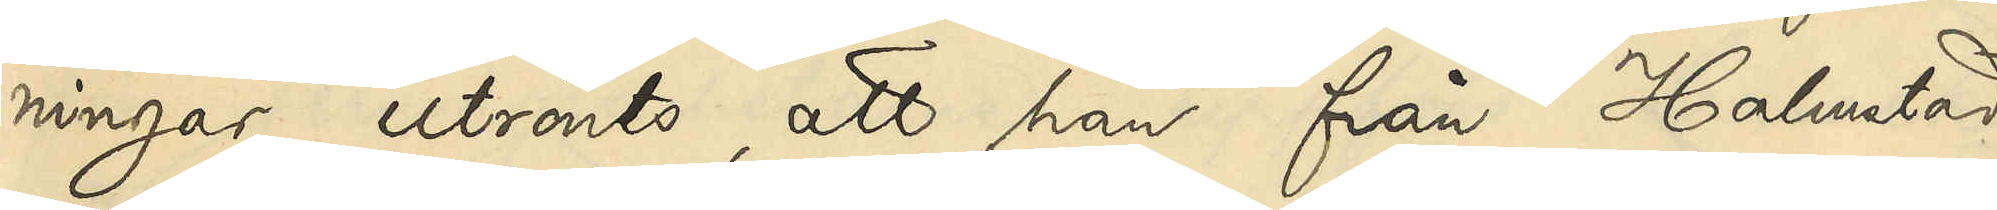ningar utrönts, att han från Halmstad
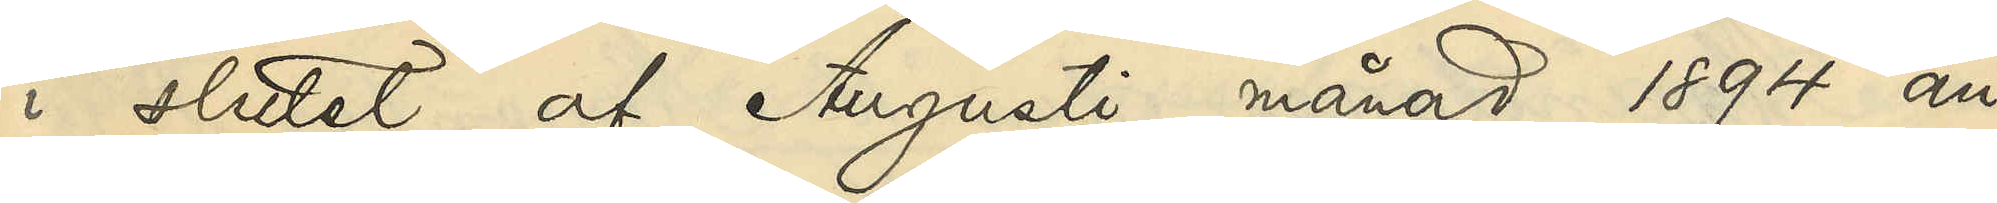i slutet af Augusti månad 1894 an¬
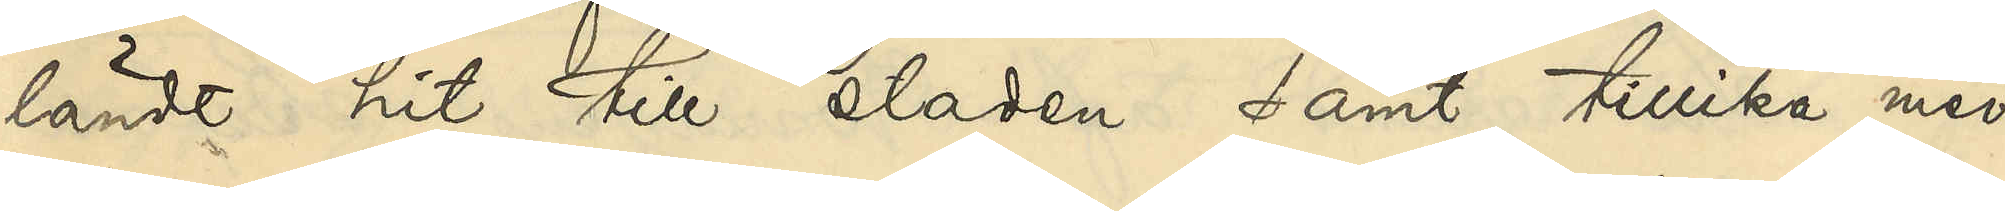ländt hit till staden samt tillika med
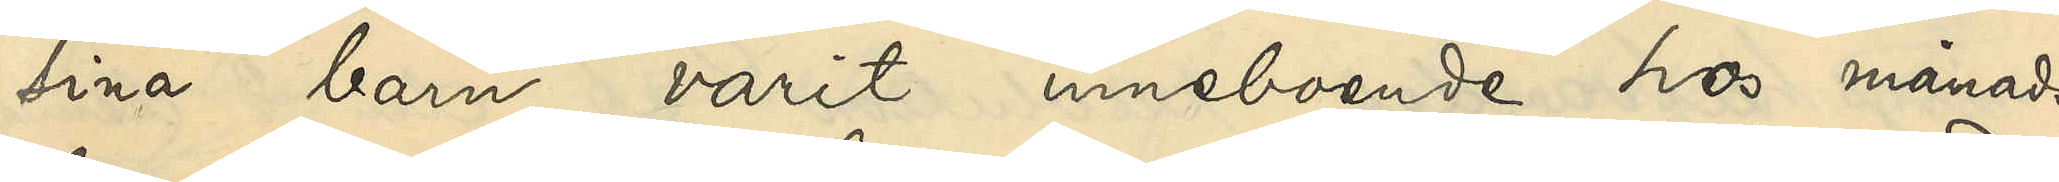sina barn varit inneboende hos månads¬
